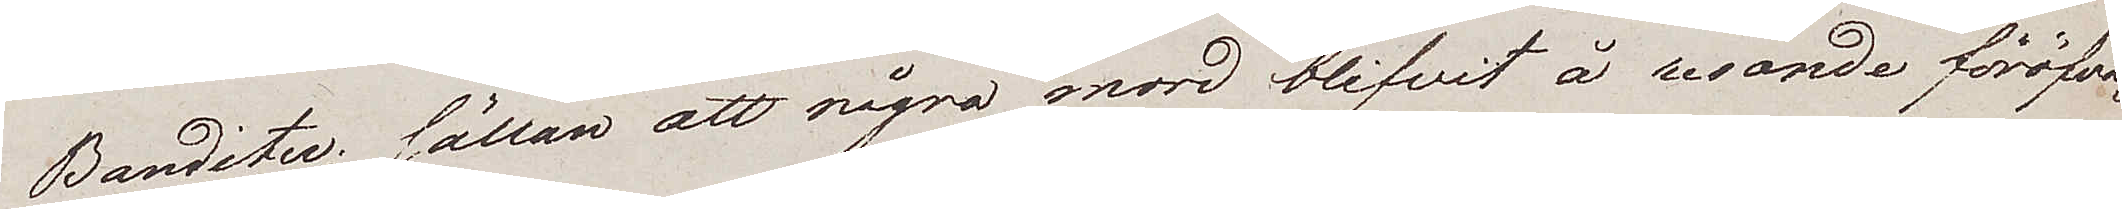Bandeter; sällan att några mord blifvit å resande föröfva¬
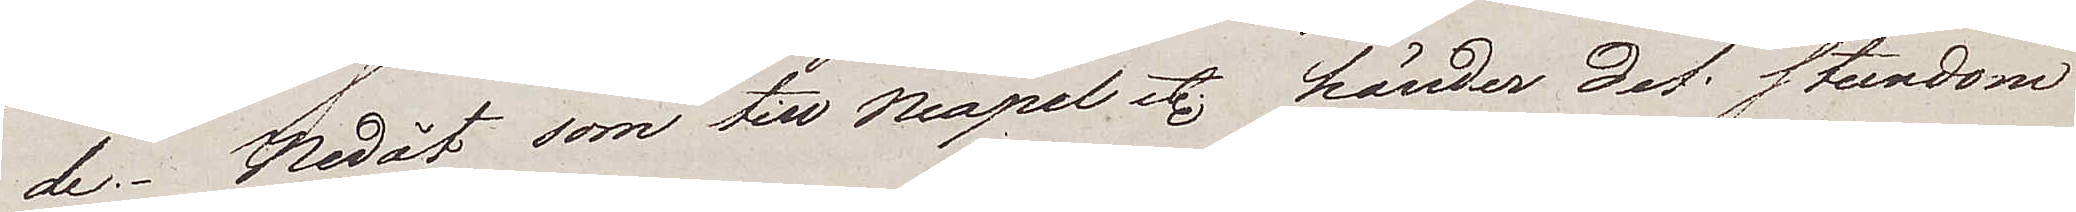de. Nedåt som till Neapel etc. händer det stundom
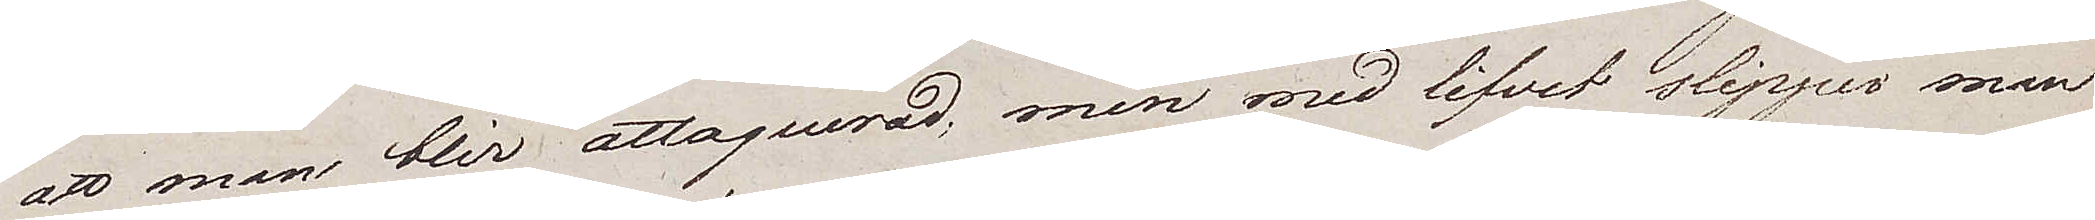att man blir attaquerad; men med lifvet slipper man
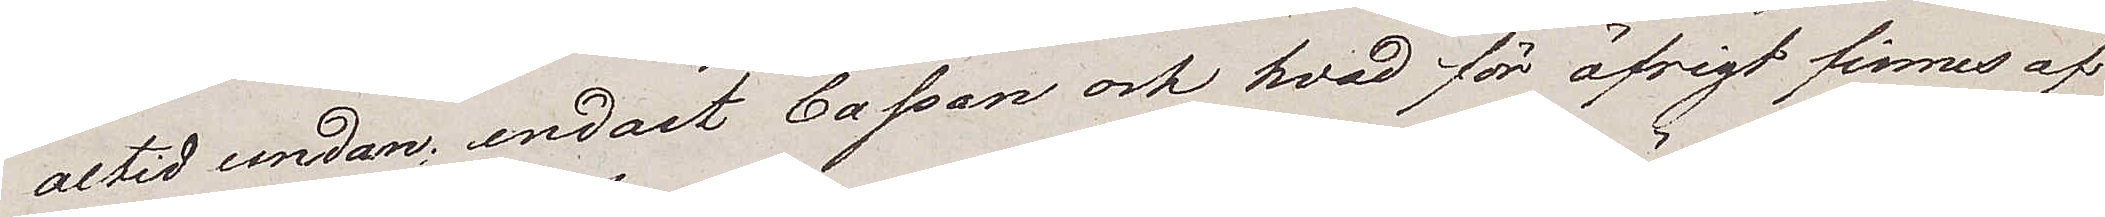altid undan; endast Cassan och hvad för öfrigt finnes af
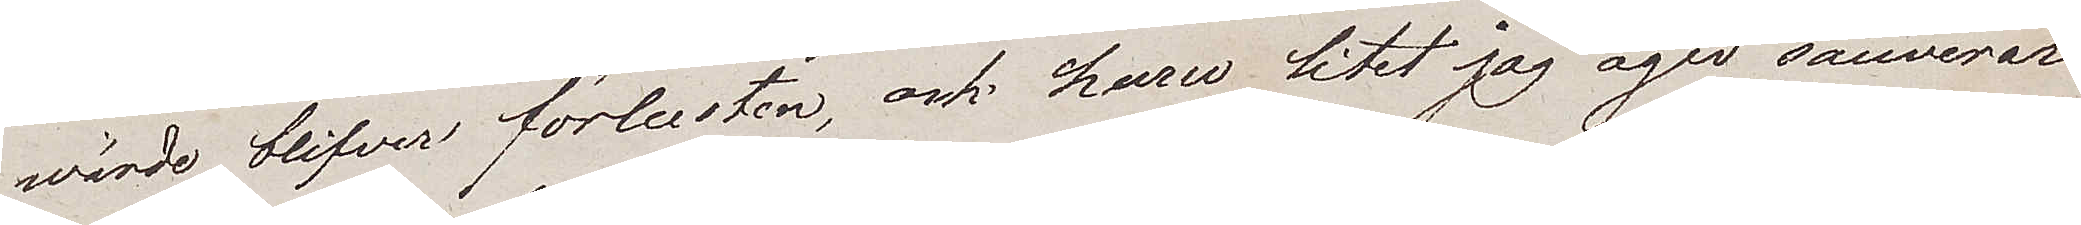wärde blifver förlusten, och huru litet jag ägar sauverar
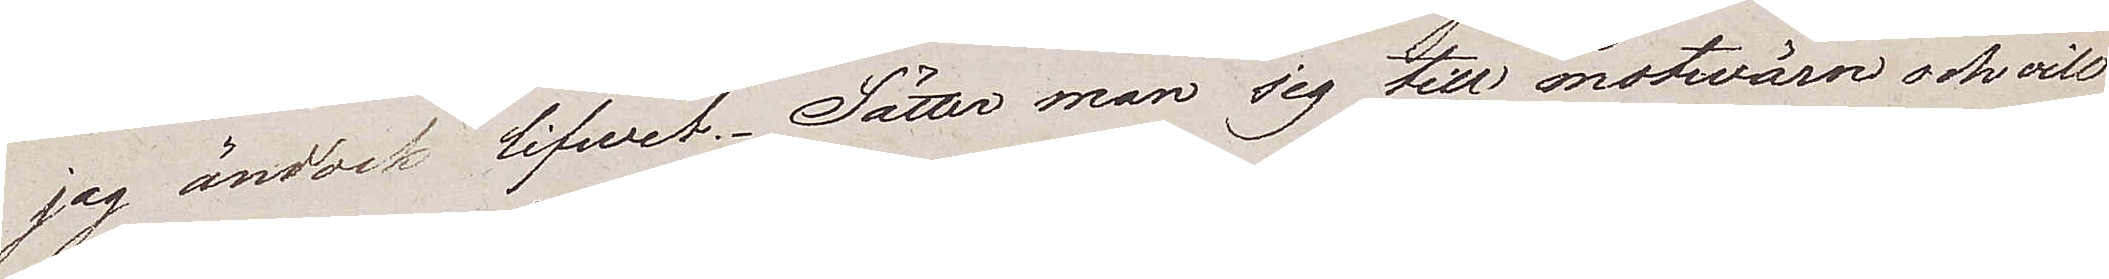jag ändock lifwet. Sätter man sig till motvärn och vill
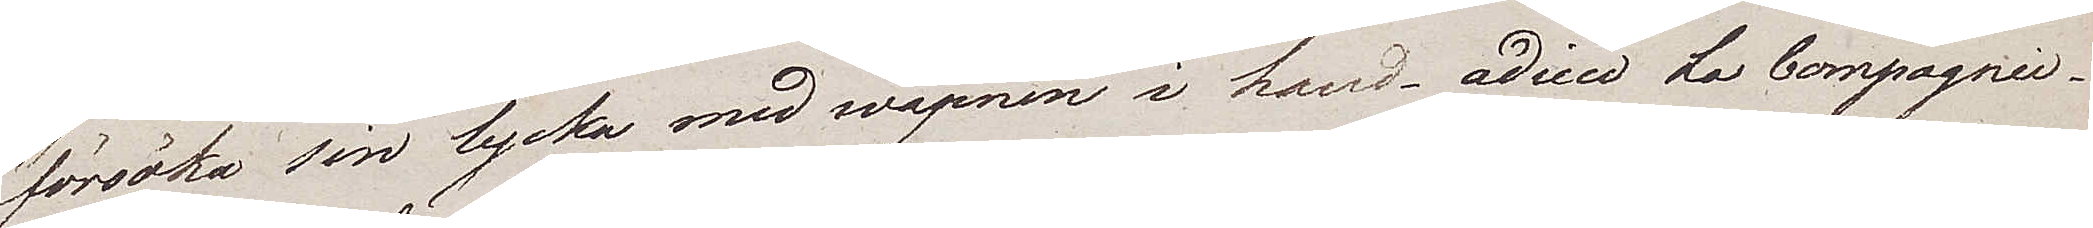försöka sin lycka med wapnen i hand – adieui La Compagnie.
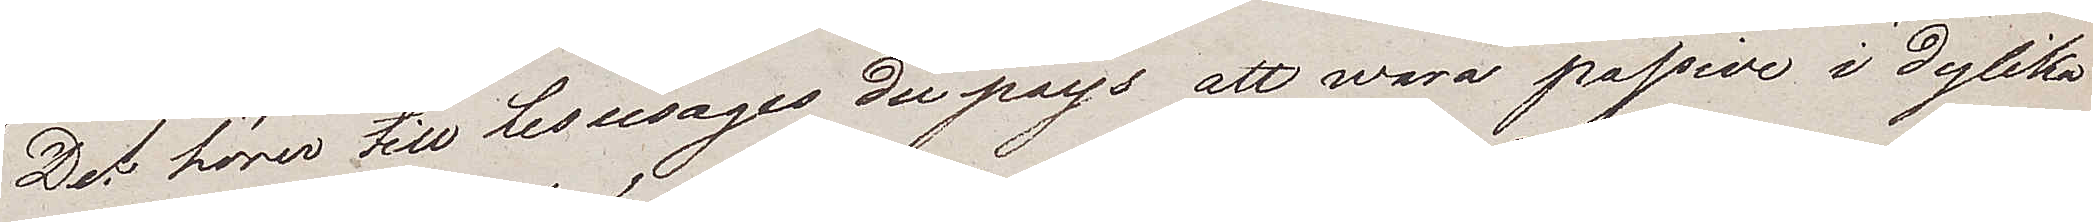Det hörer till Les usages du pays att wara passive i dylika
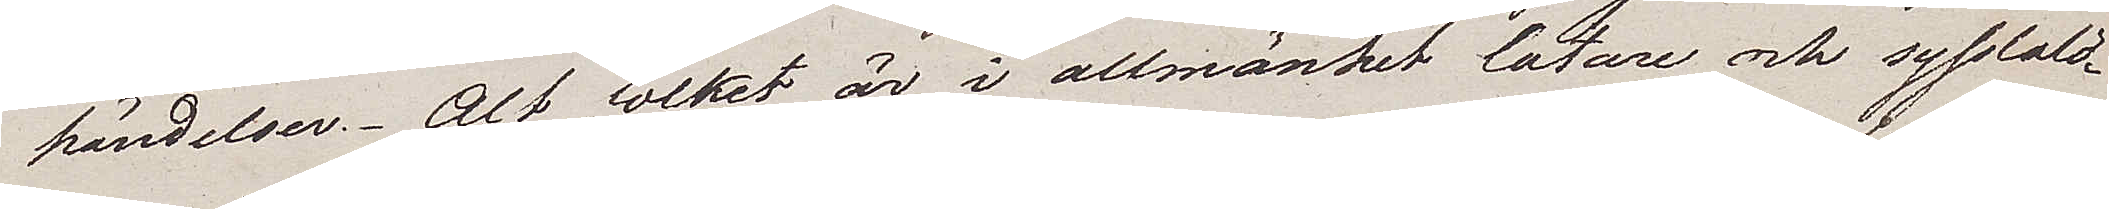händelser. Alt folket är i allmänhet latare och sysslolö¬
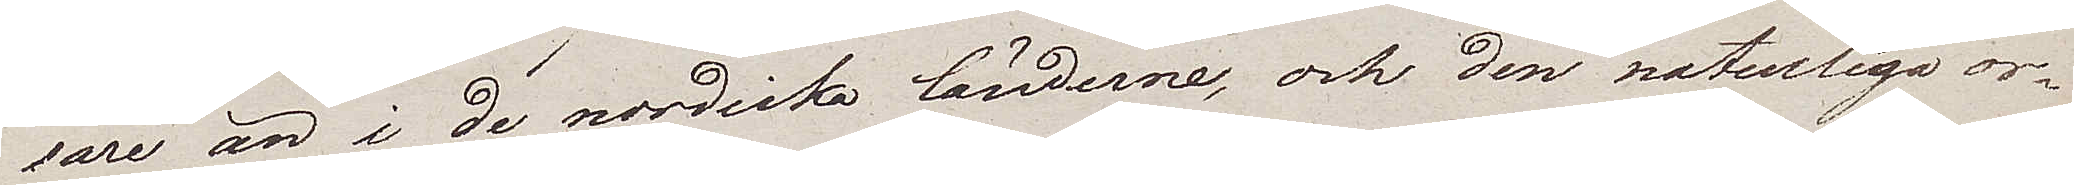sare än i de nordiska länderna, och den naturliga or¬
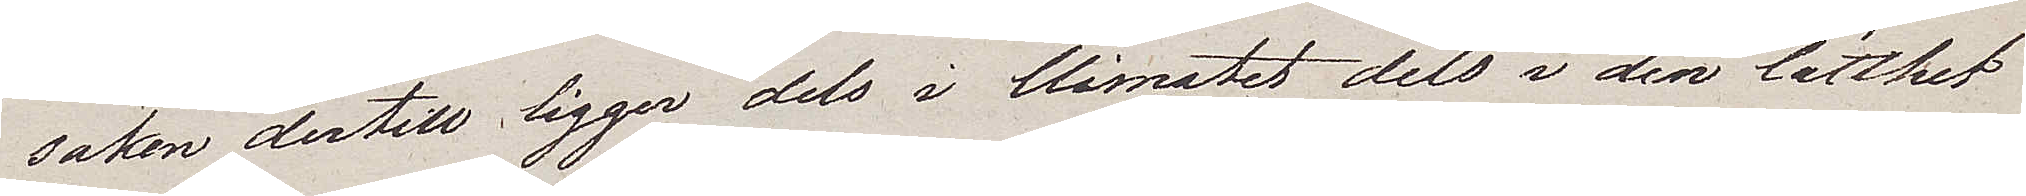saken dertill ligger dels i Climatet dels i den lätthet
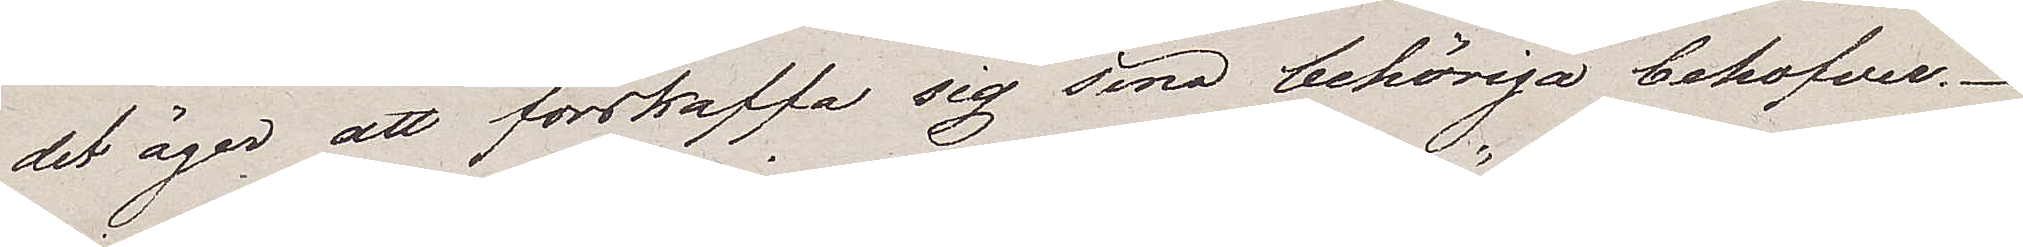det äger att förskaffa sig sina behöriga behofver.
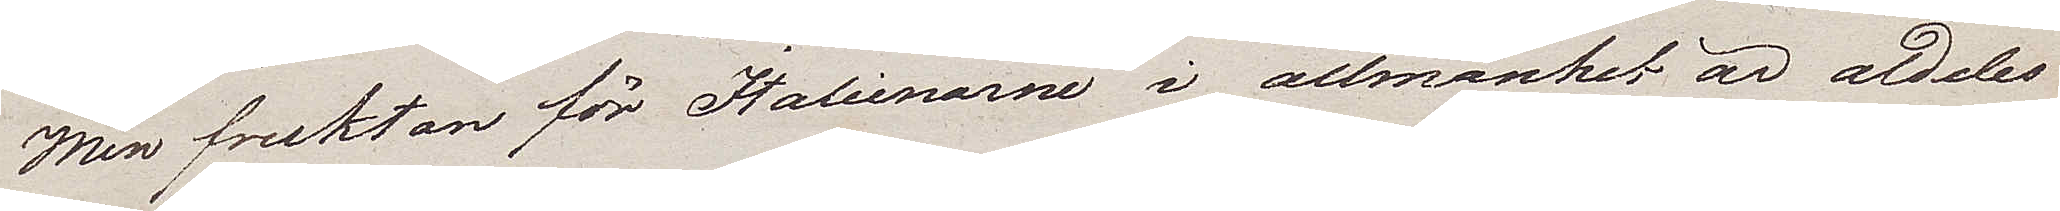Men fruktan för Italienarne i allmänhet är aldeles
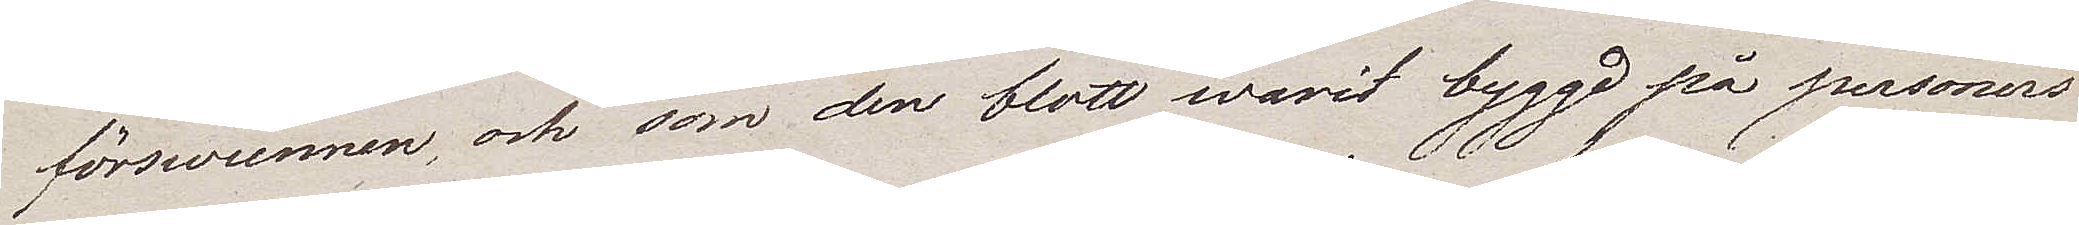förswunnen, och som den blott warit byggd på personers
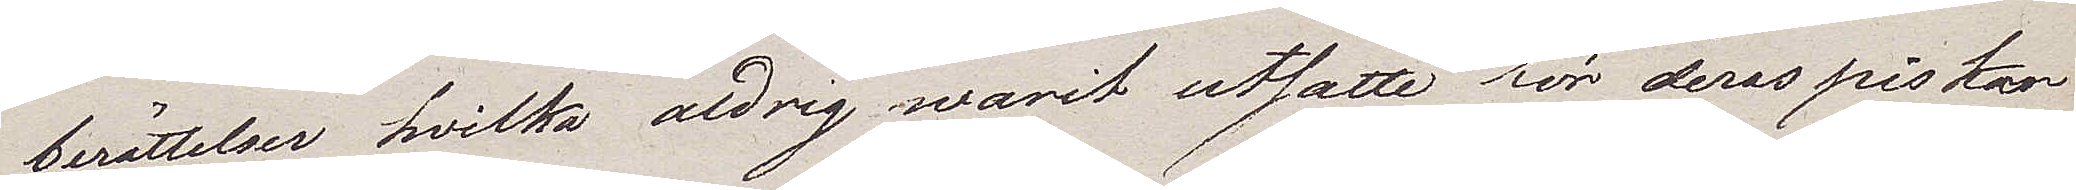berättelser hvilka aldrig warit utsatte för deras piskor
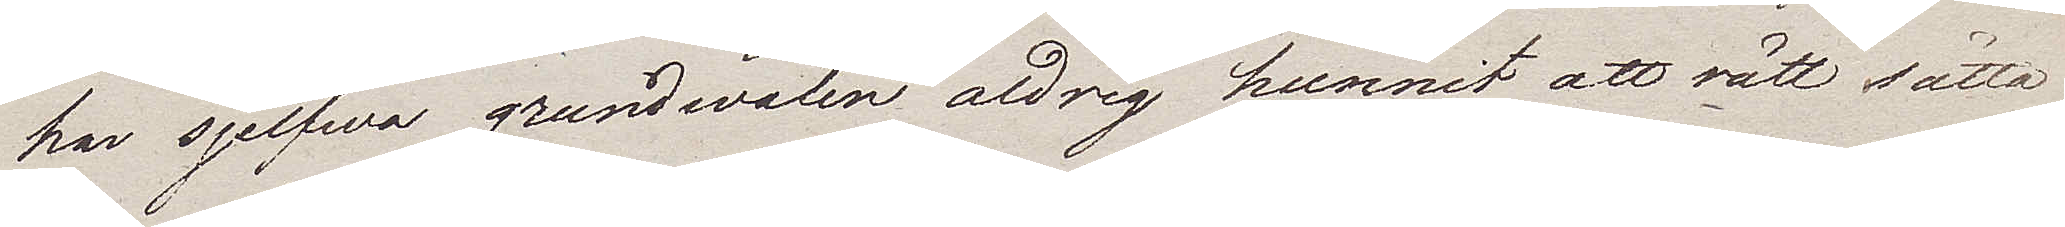har sjelfwa grundvalen aldrig hunnit att rätt sätta
